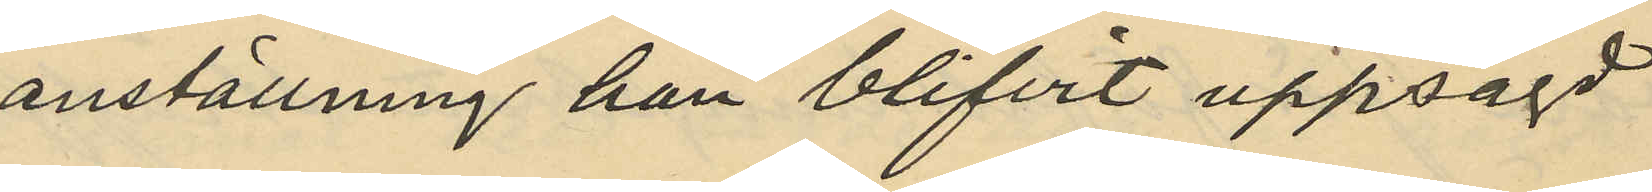anställning han blifvit uppsagd
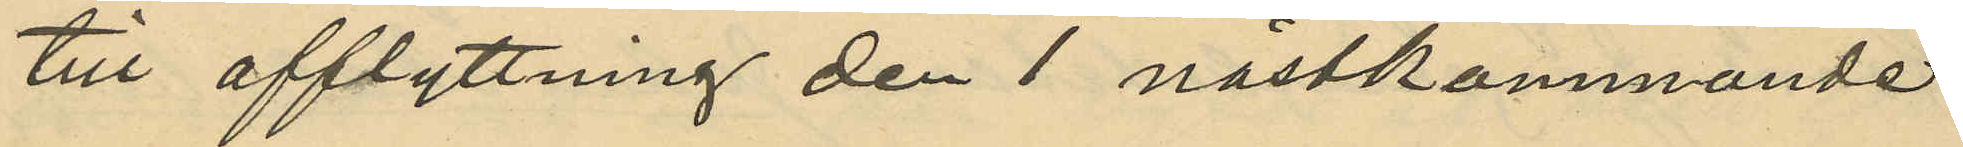till afflyttning den 1 nästkommande
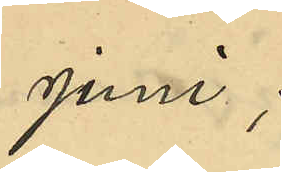juni;
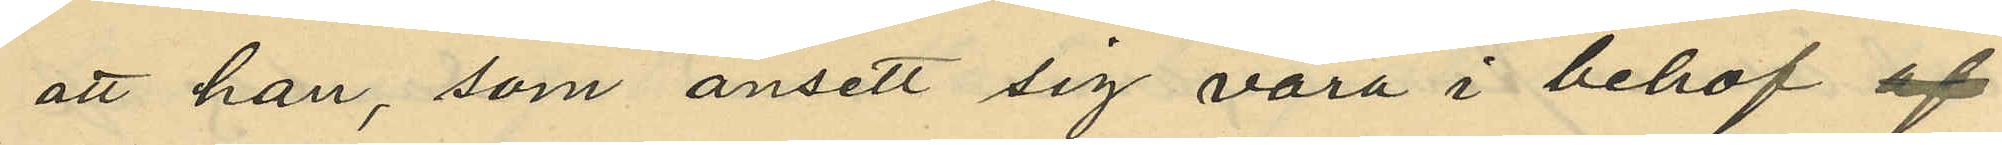att han, som ansett sig vara i behof af
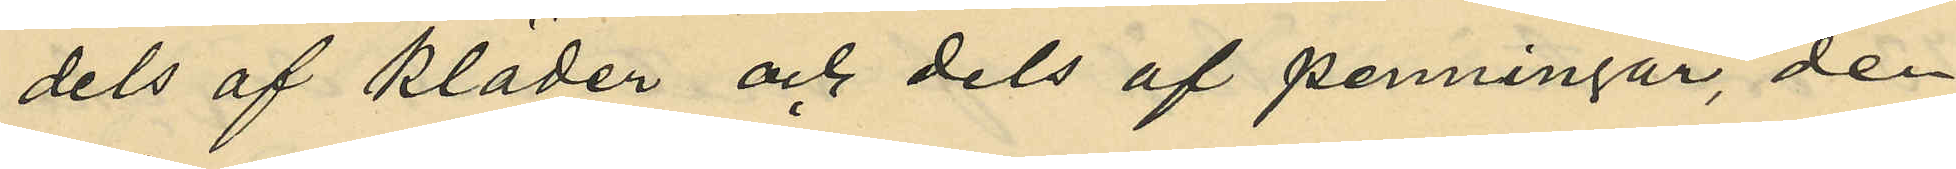dels af kläder och dels af penningar, den
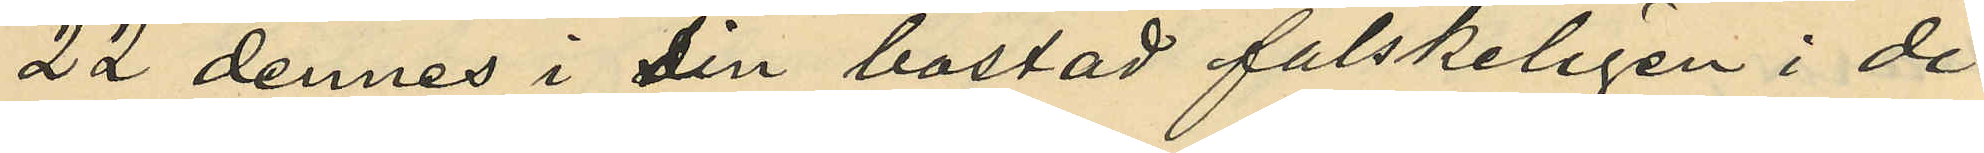22 dennes i sin bostad falskeligen i di¬
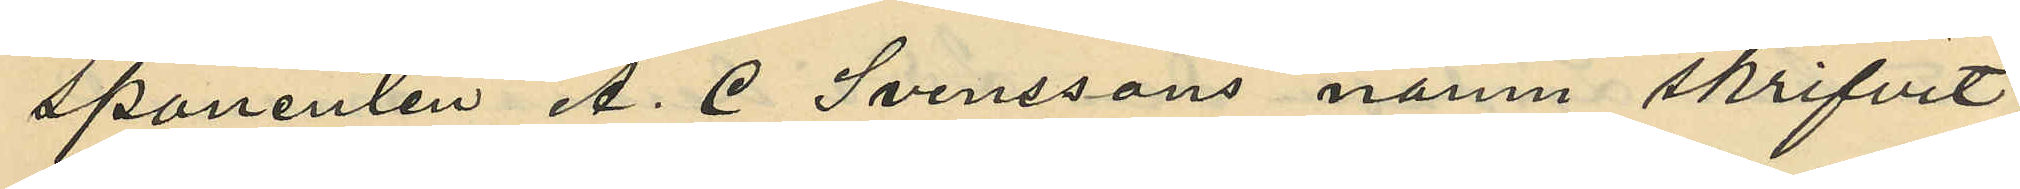sponenten A. C. Svenssons namn skrifvit
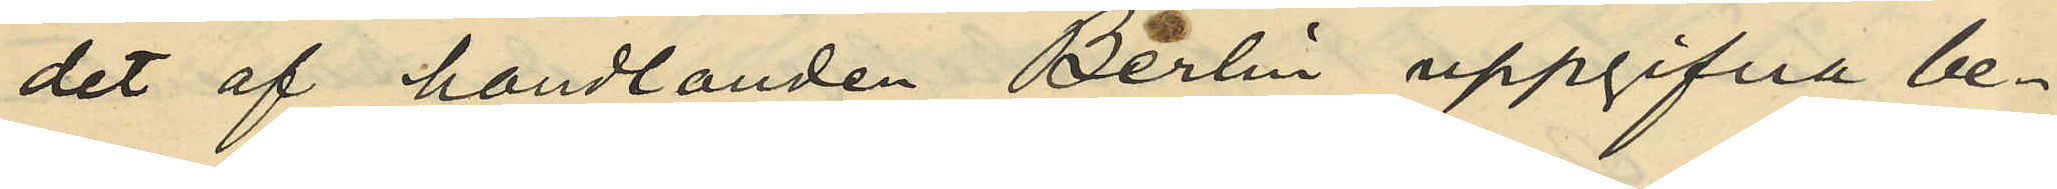det af handlanden Berlin uppgifna be¬
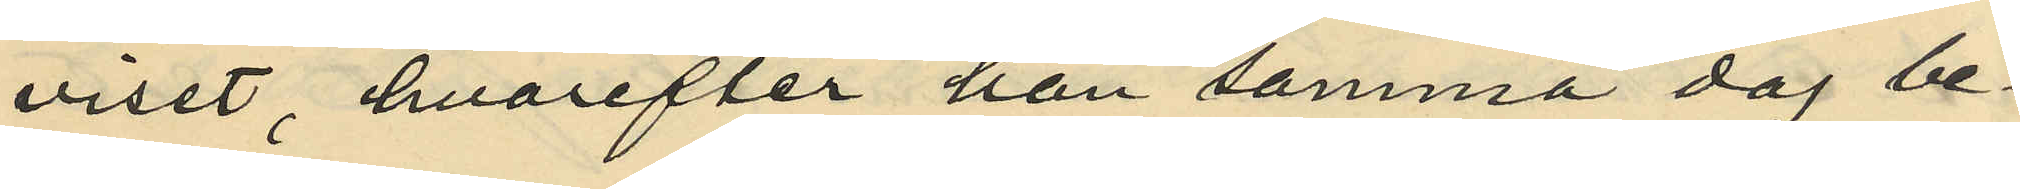viset, hvarefter han samma dag be¬
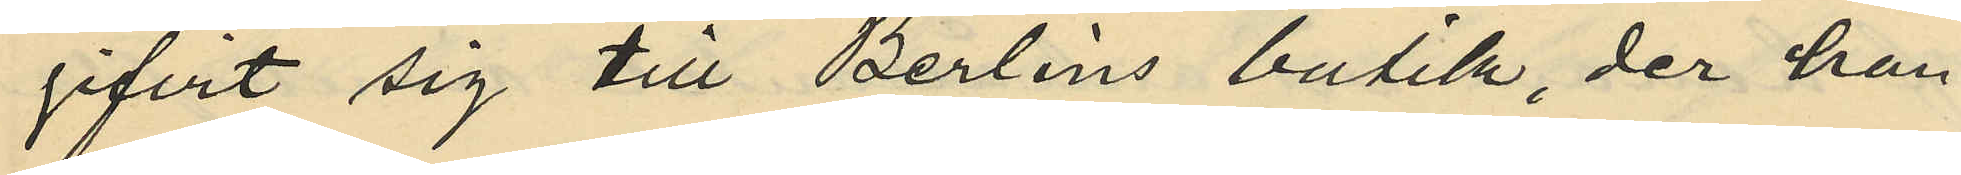gifvit sig till Berlins butik, der han
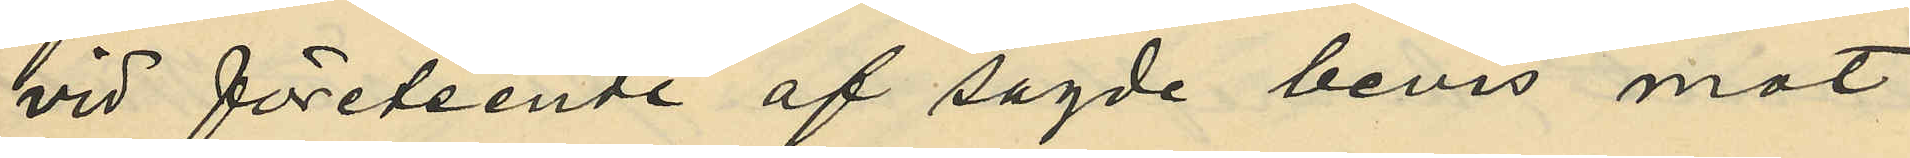vid företeende af sagde bevis mot
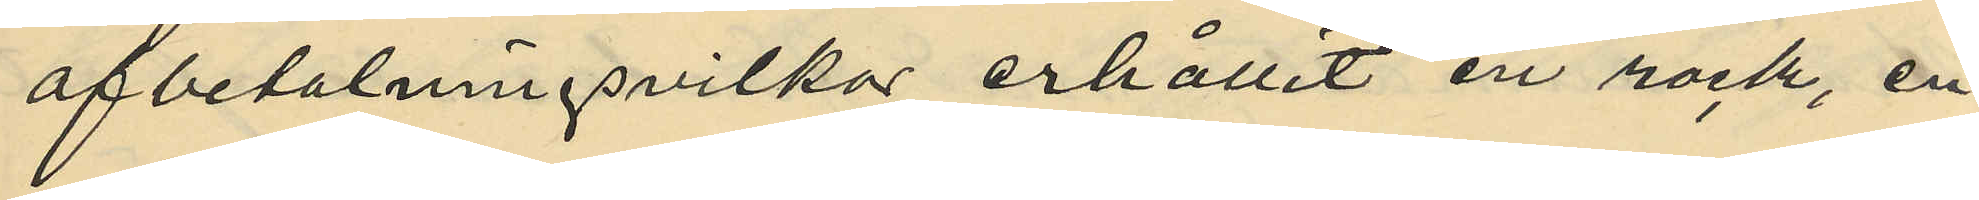afbetalningsvilkor erhållit en rock, en
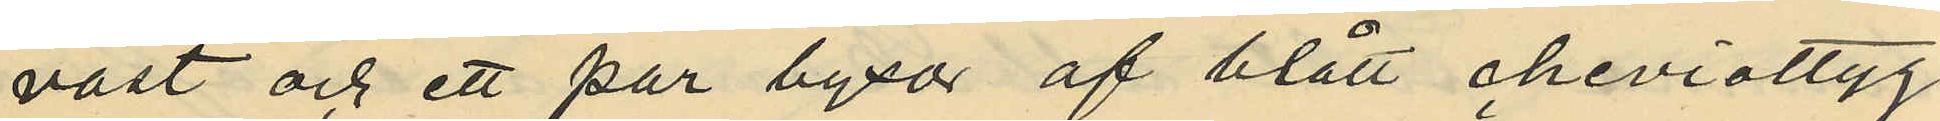väst och ett par byxor af blått cheviottyg
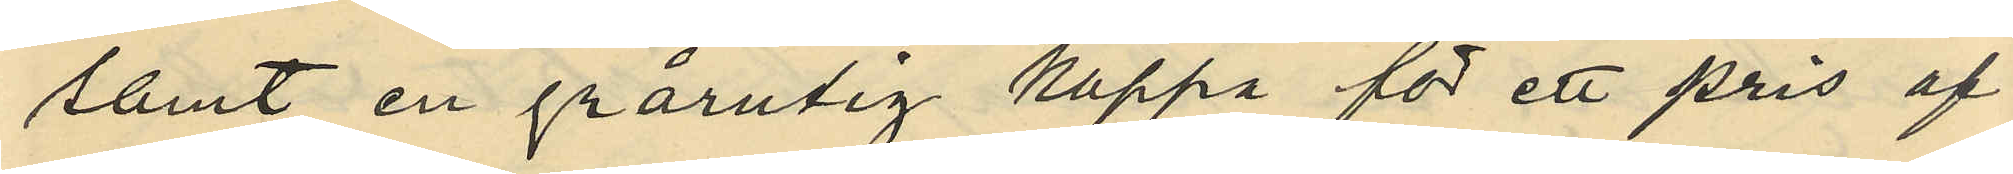samt en grårutig kappa för ett pris af
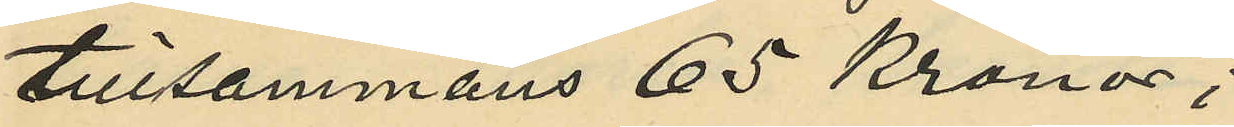tillsammans 65 Kronor;
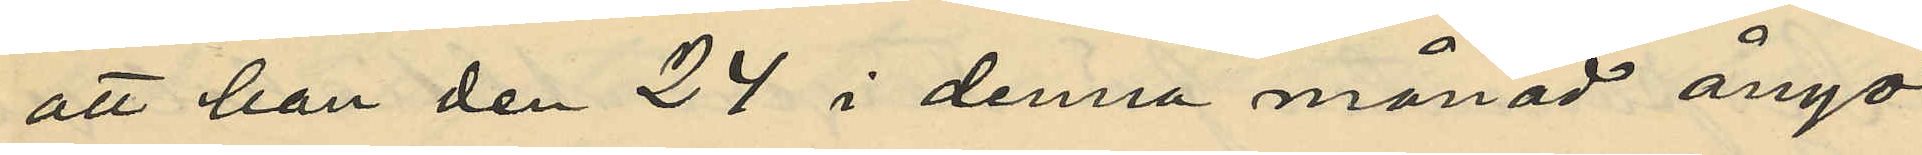att han den 24 i denna månad ånyo
